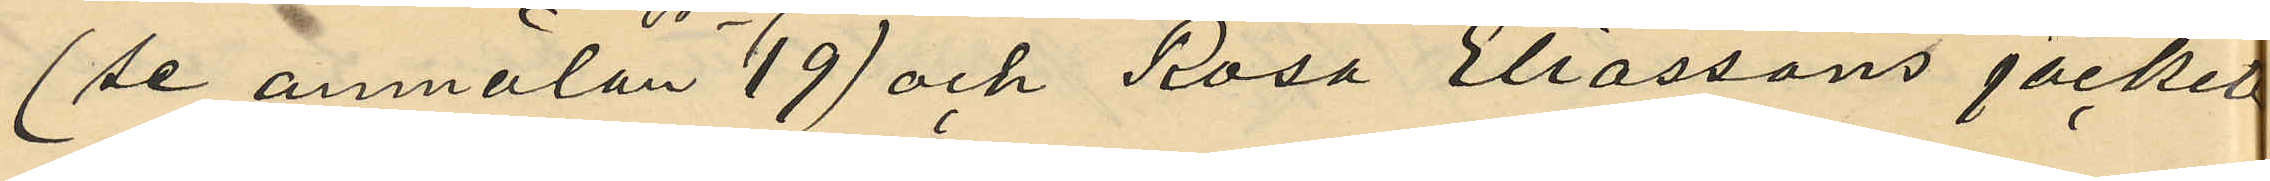(se anmälan No 19) och Rosa Eliassons jacket
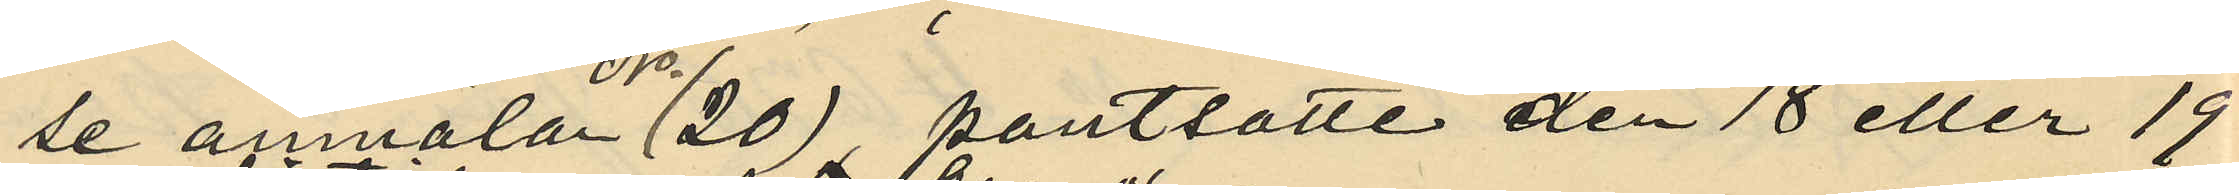(se anmälan No 20) pantsatte den 18 eller 19
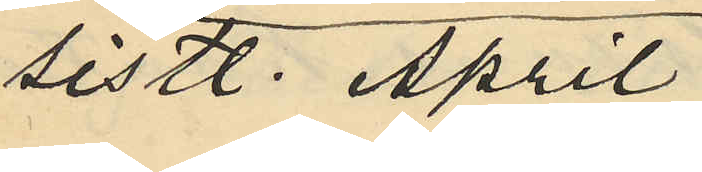sistl. April
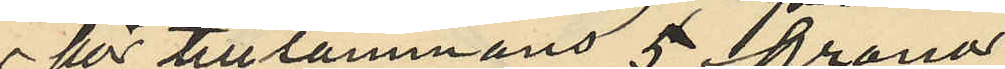för tillsammans 5 Kronor
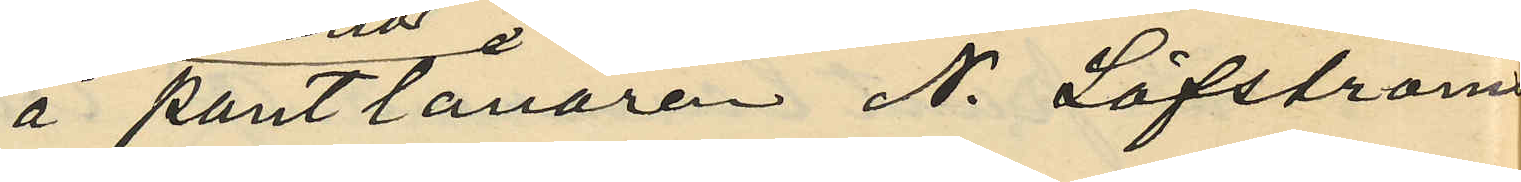å pantlånaren N. Löfströms
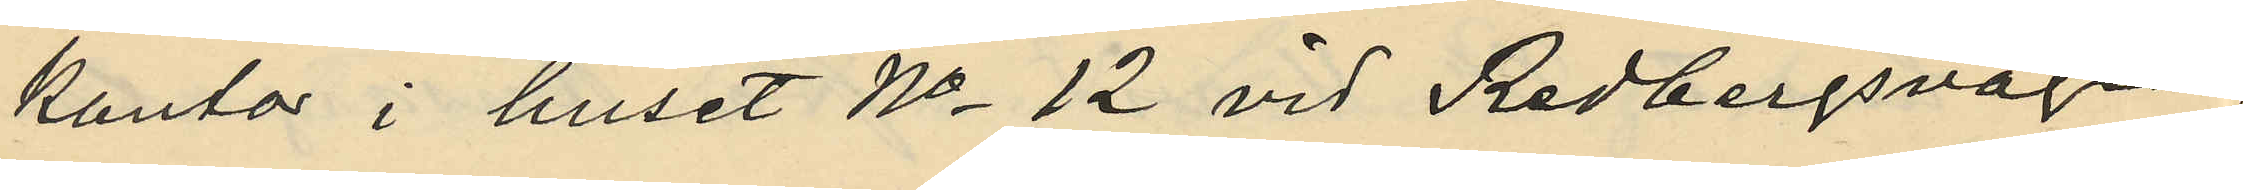kontor i huset No 12 vid Redbergsvägen
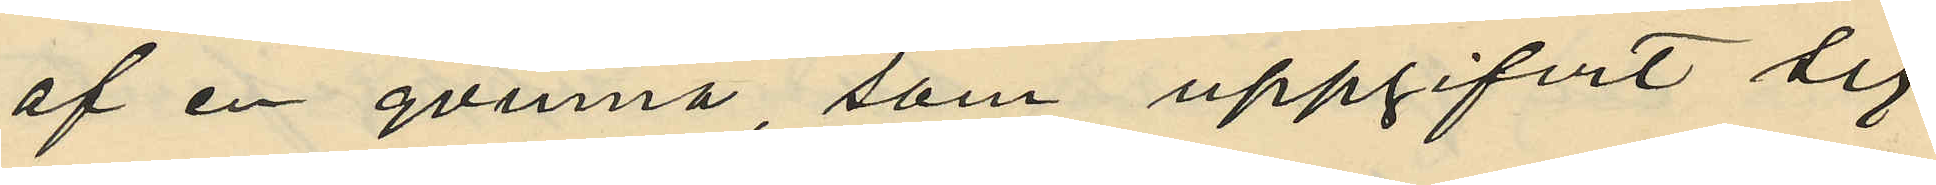af en qvinna, som uppgifvit sig
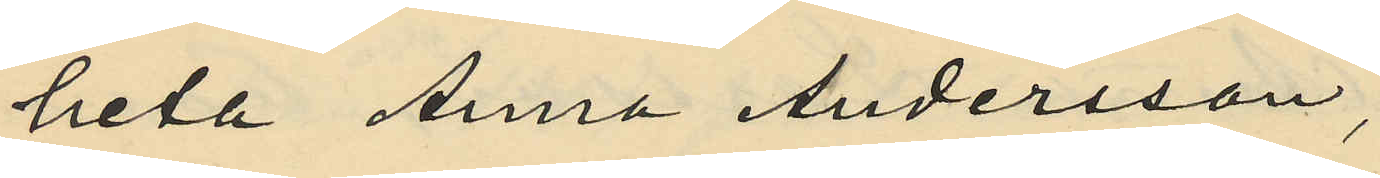heta Anna Andersson,
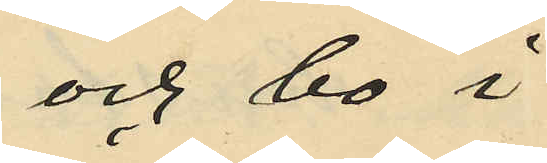och bo i
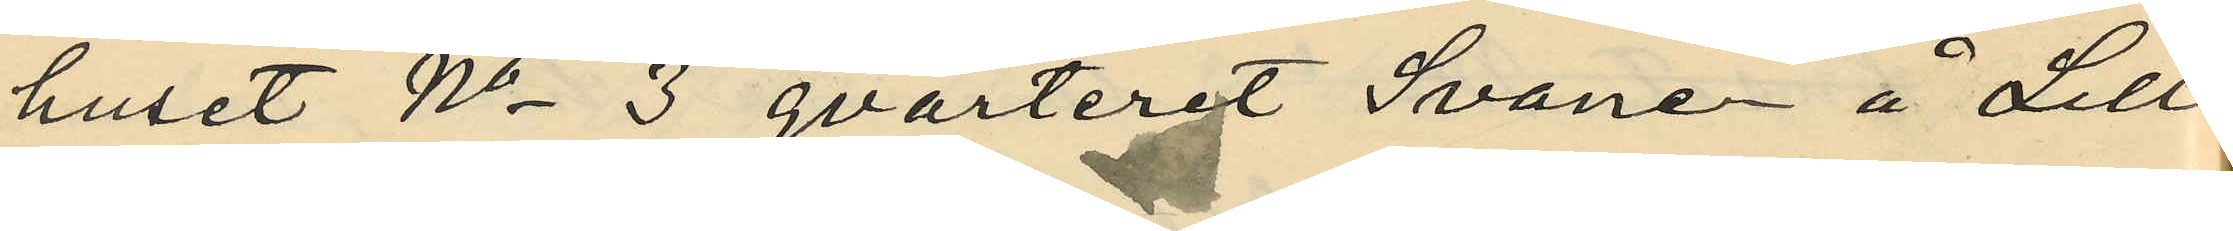huset No 3 qvarteret Svanen å Lilla
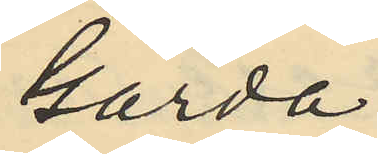Gårda;
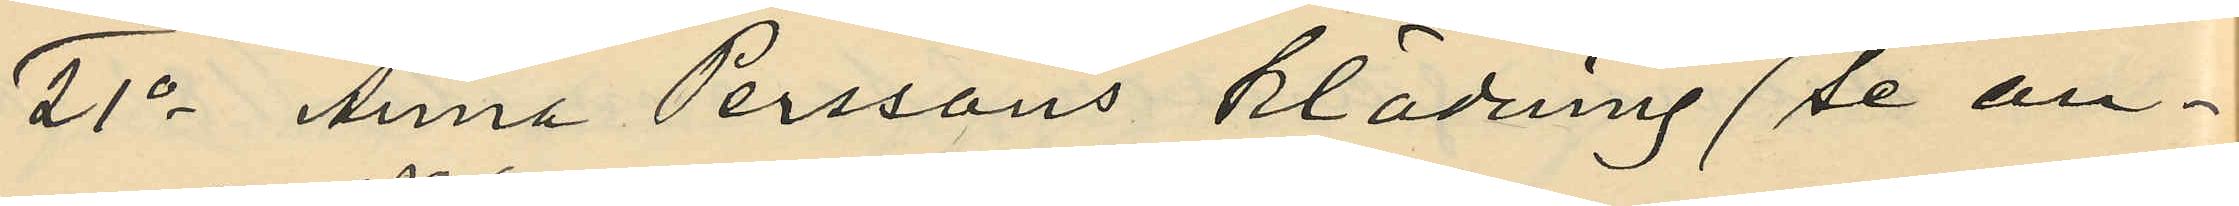21o Anna Perssons klädning (se an¬
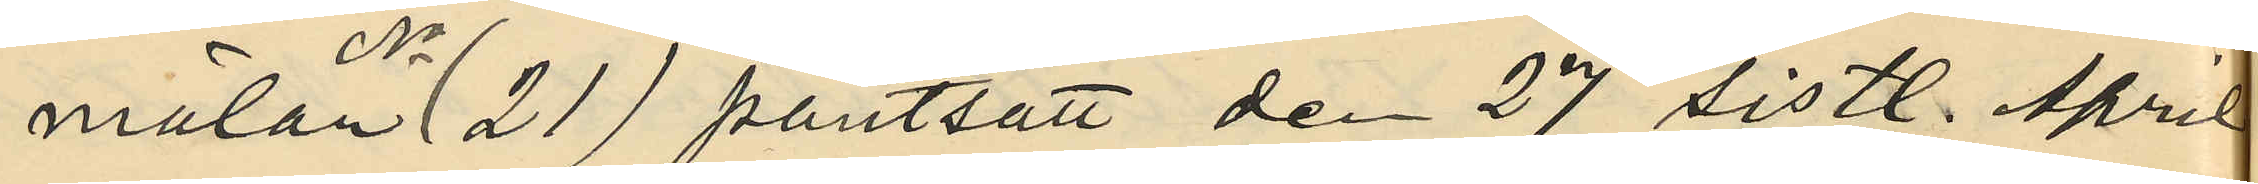mälan No 21) pantsatt den 27 sistl. April
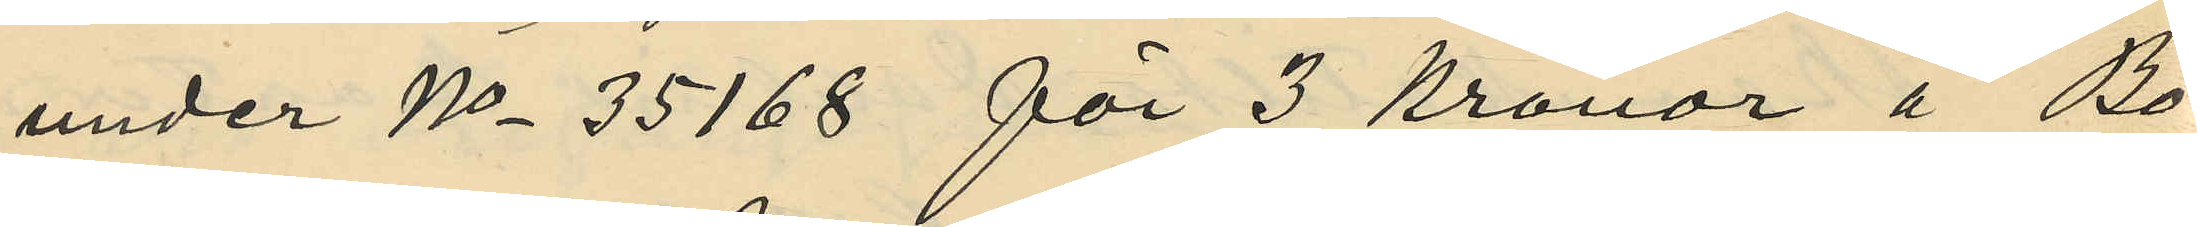under No 35168 för 3 kronor å Bo¬
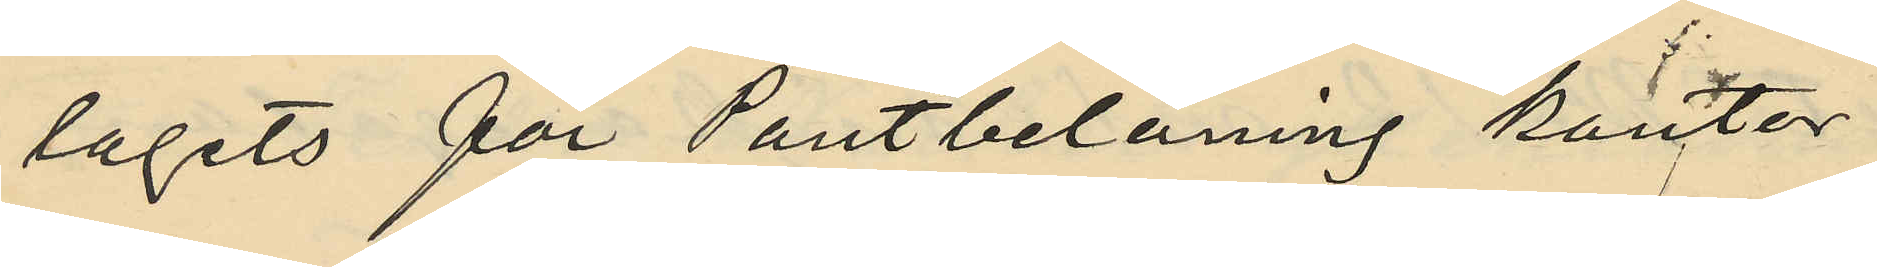lagets för Pantbelåning kontor
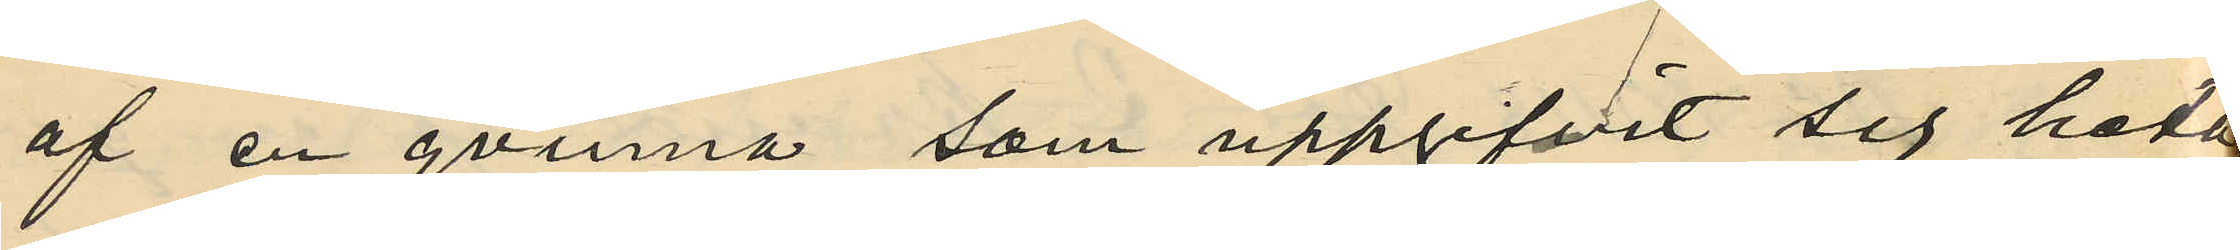af en qvinna, som uppgifvit sig heta
